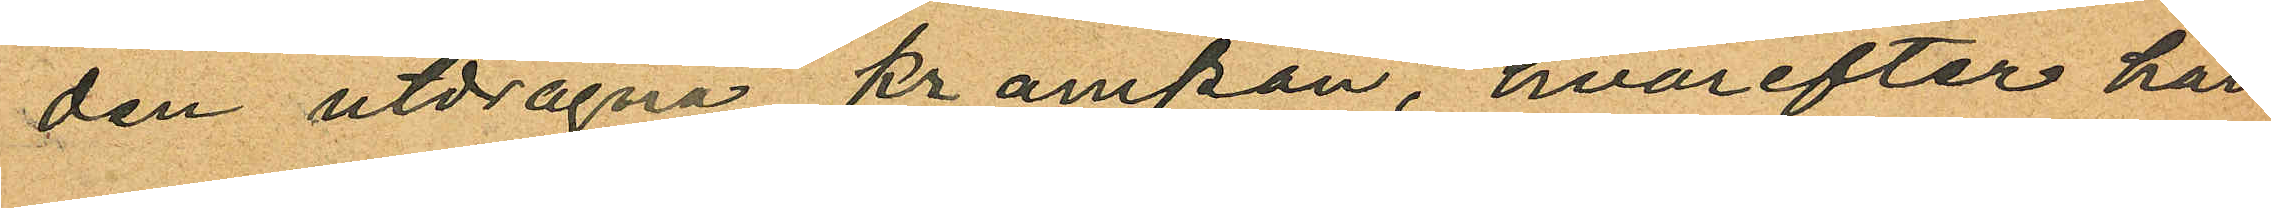den utdragna krampan, hvarefter han
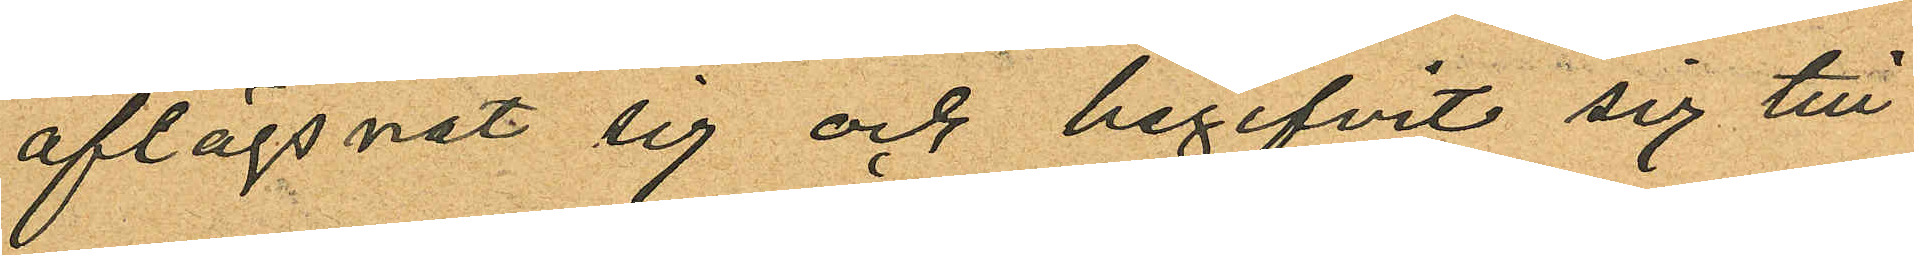aflägsnat sig och begifvit sig till
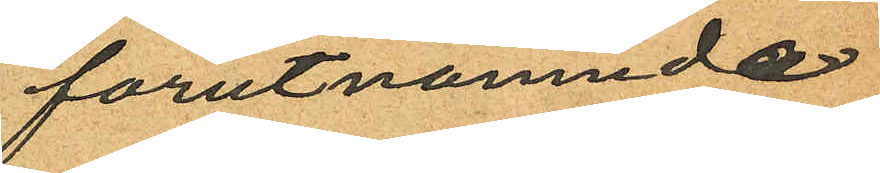förutnämnda
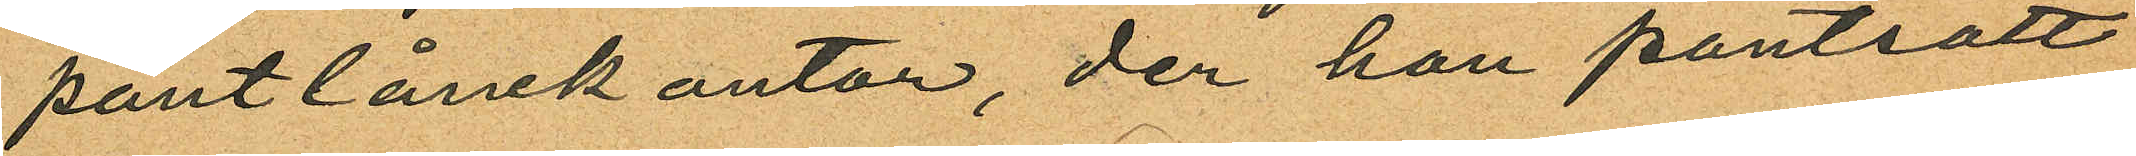pantlånekontor, der han pantsatt
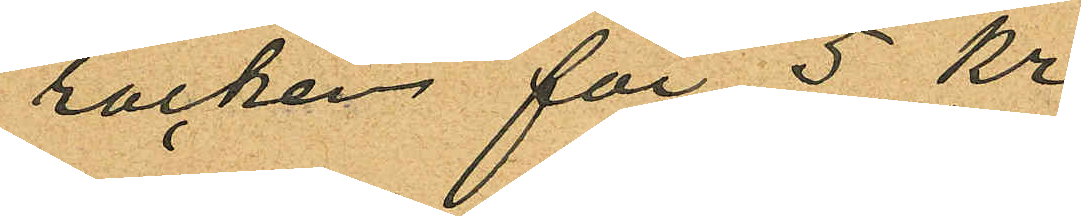rocken för 5 kr
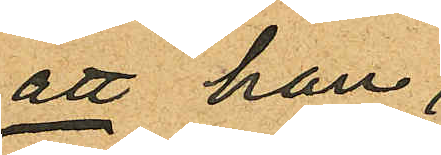att han,
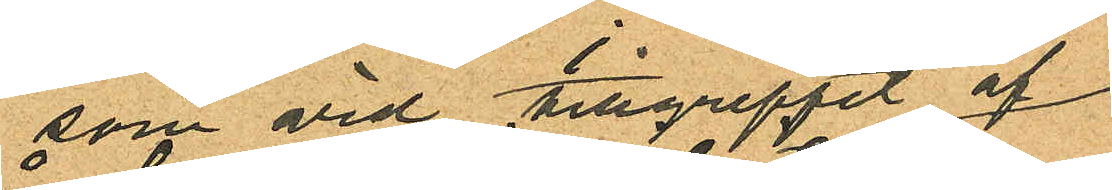som vid tillgreppet af
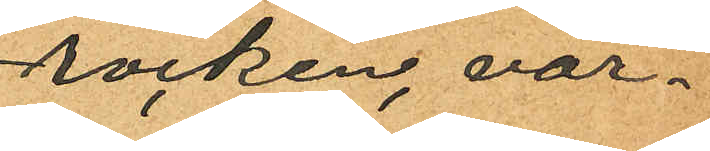rocken, var¬
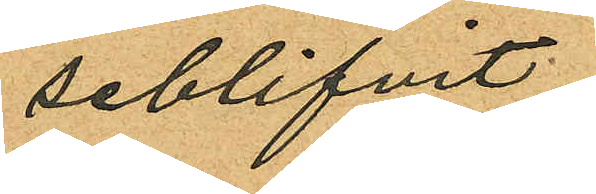seblifvit
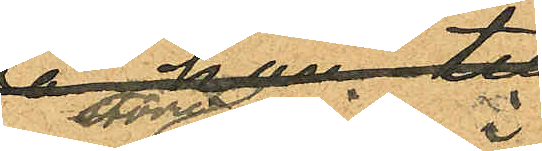en större i
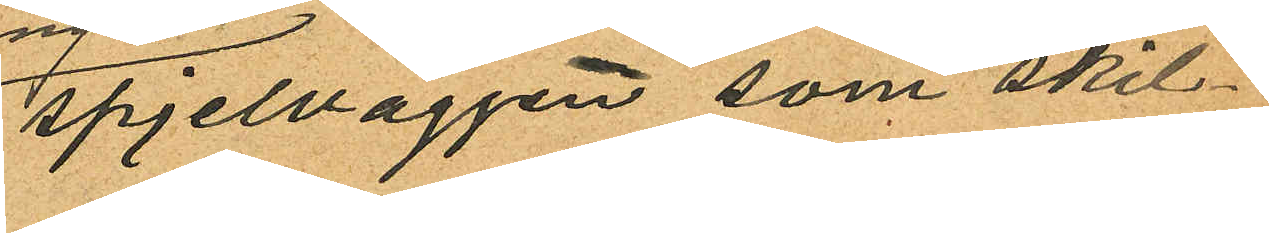spjelväggen som skil¬
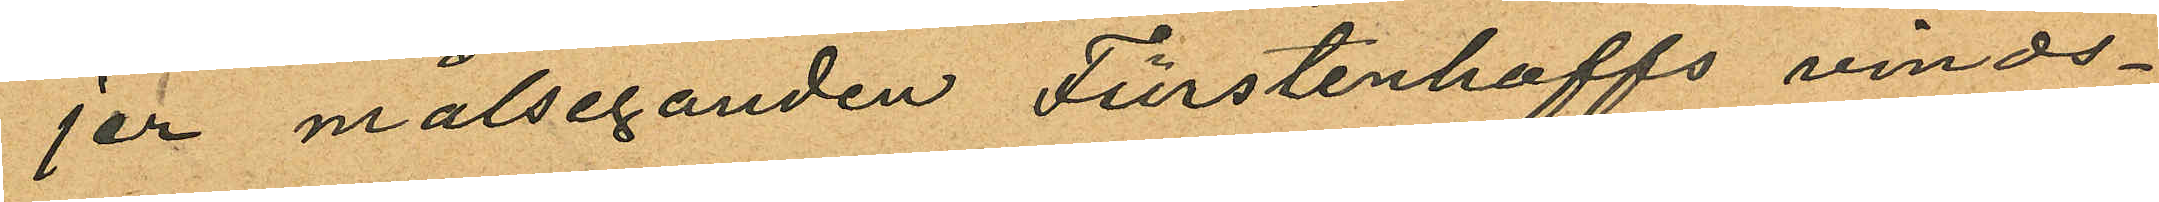jer målseganden Fürstenhoffs vinds¬
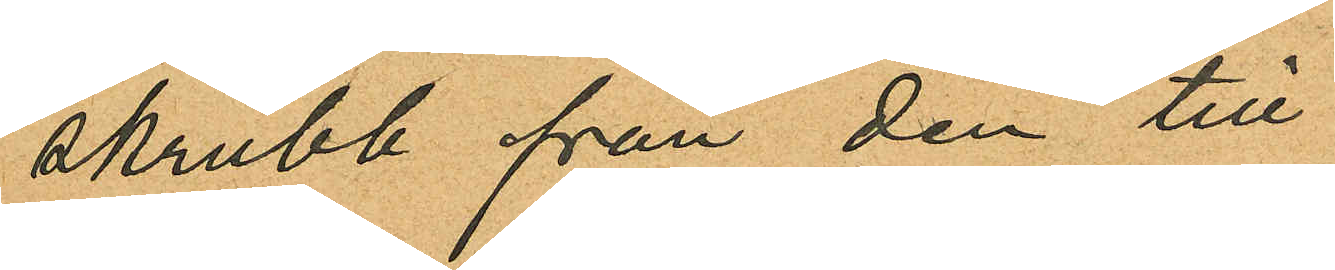skrubb från den till
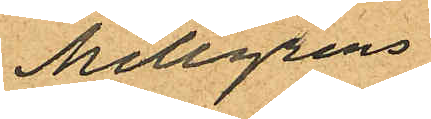Mellgrens
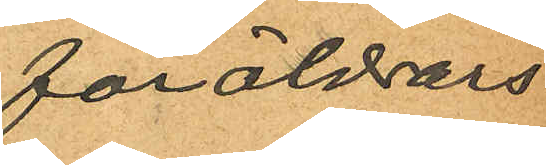föräldrars
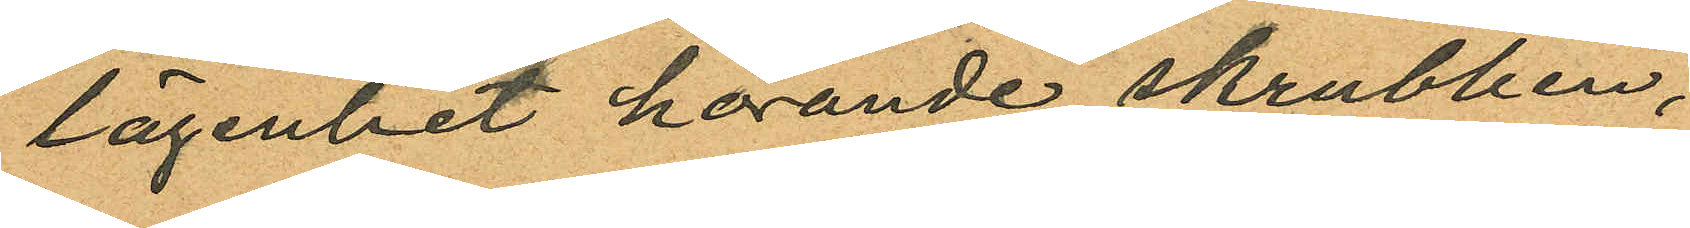lägenhet hörande skrubben,
